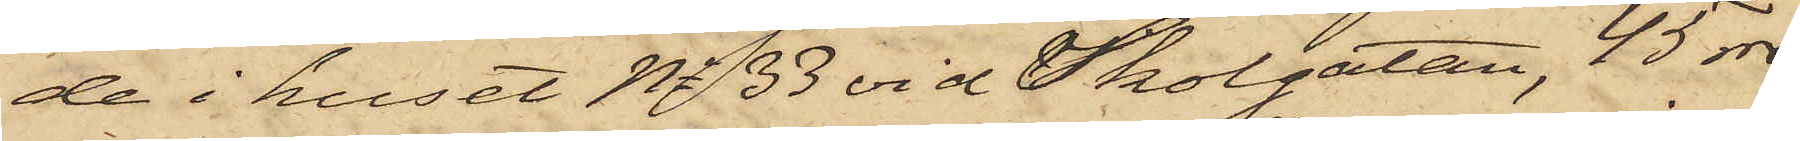de i huset No 33 vid Skolgatan, 45 rdr
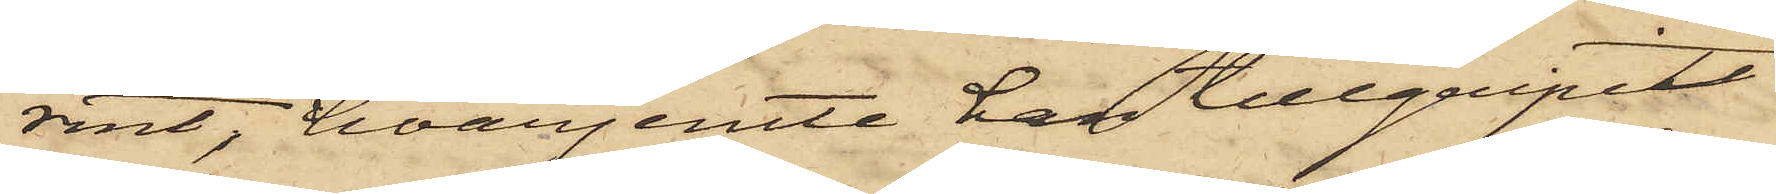rmt, hvarjemte han tillgripit
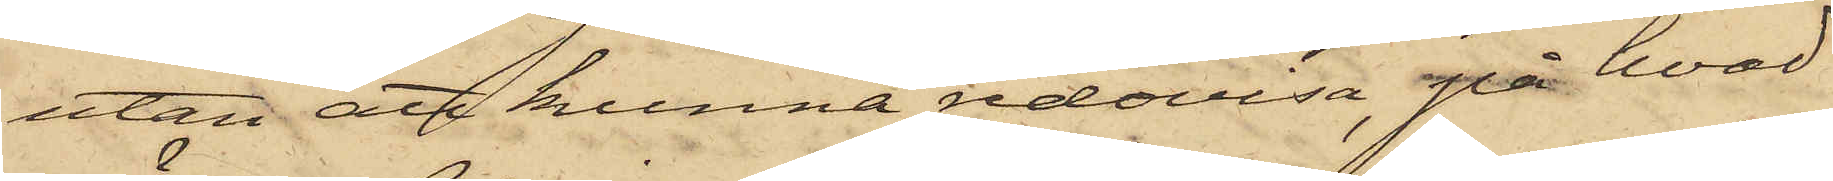utan att kunna redovisa, på hvad
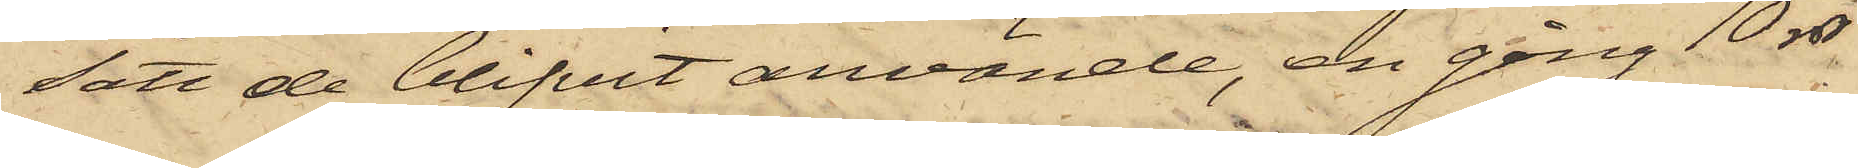satt de blifvit använde, en gång 10 rdr
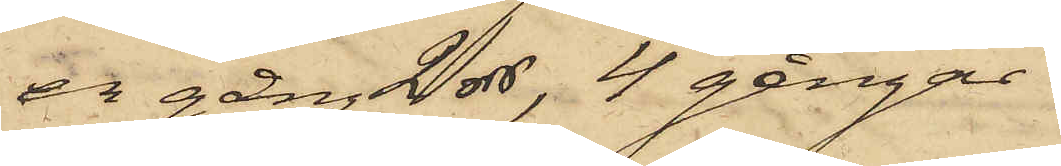en gång 2 rdr, 4 gånger
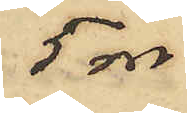5 rdr,
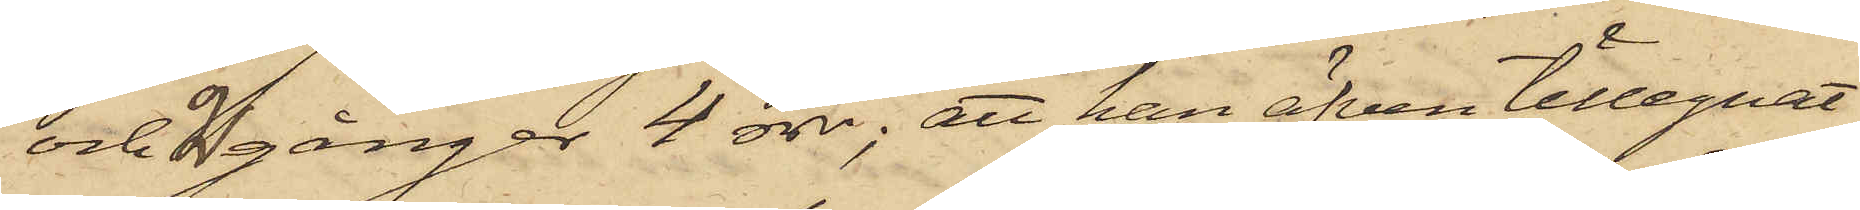och 2 gånger 4 rdr; att han äfven tillegnat
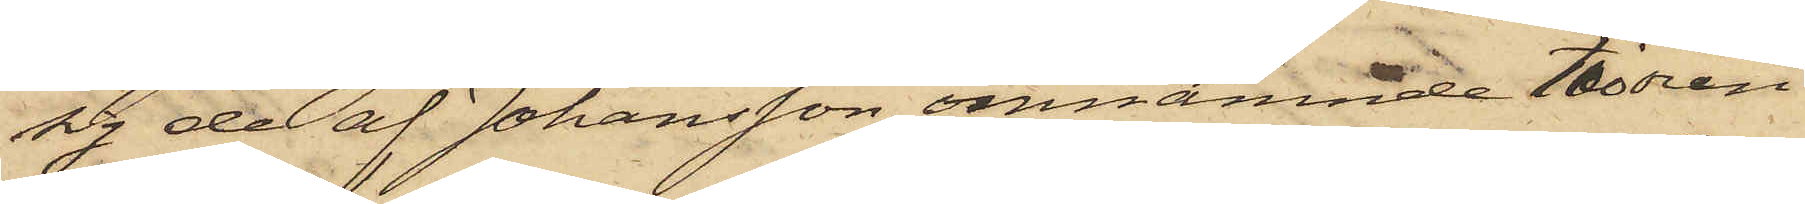sig de af Johansson omnämnde tioörin¬
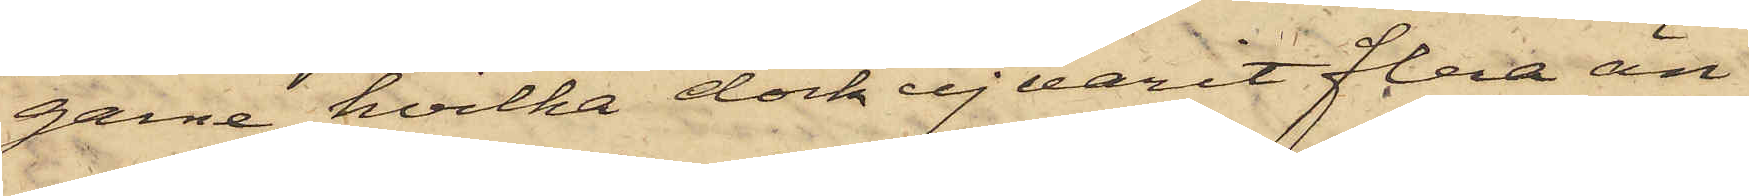garne, hvilka dock ej varit flera än
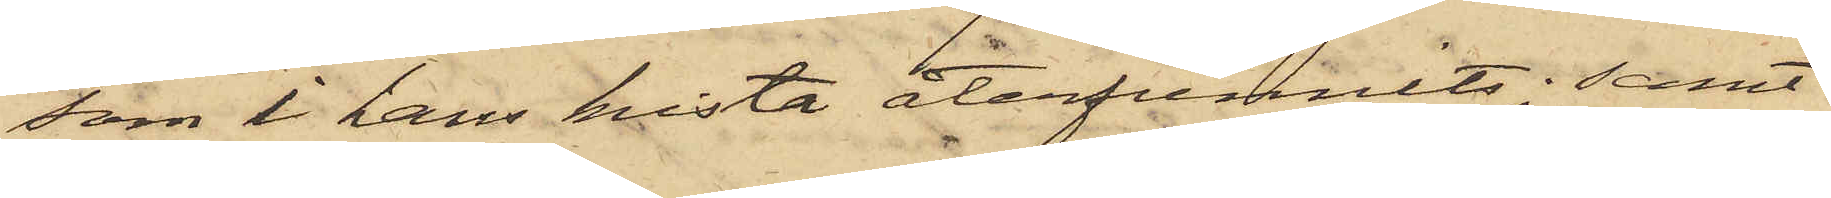som i hans kista återfunnits; samt
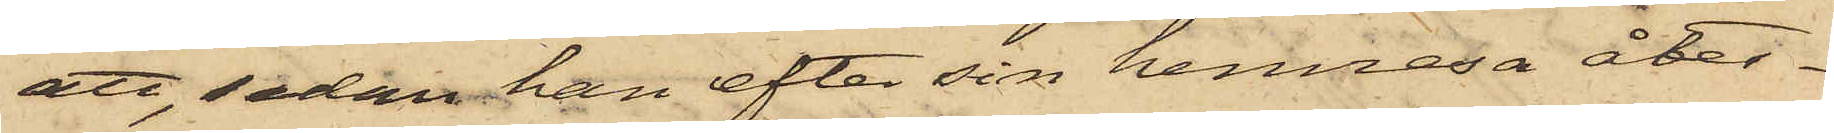att, sedan han efter sin hemresa åter¬
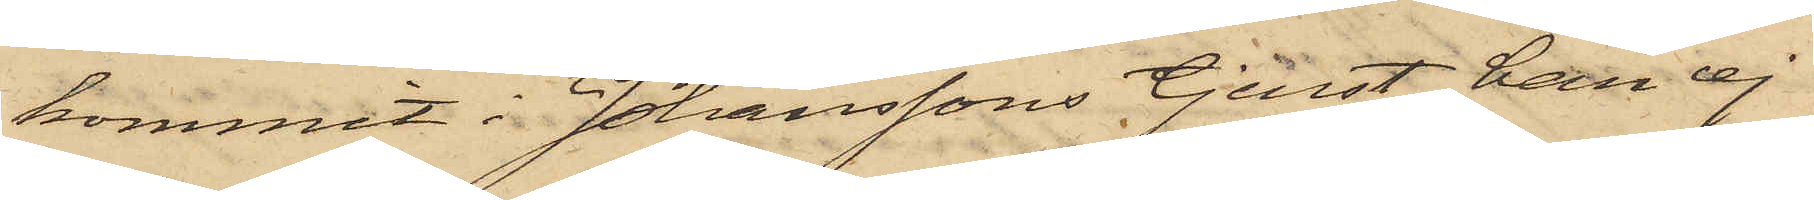kommit i Johanssons tjenst, han ej
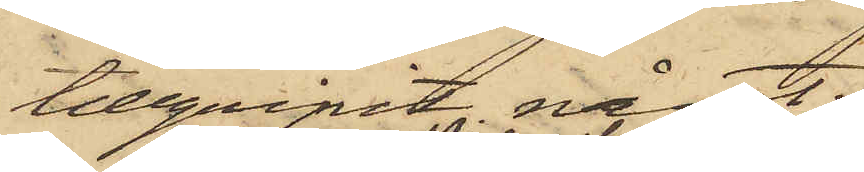tillgripit något. 
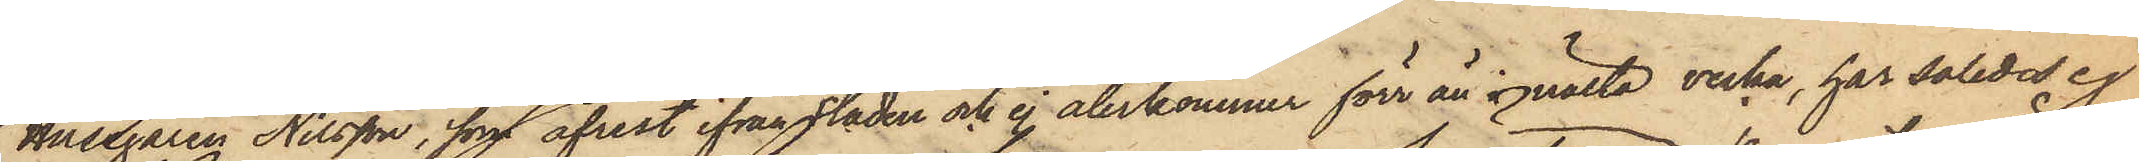Husegaren Nilsson, som afrest ifrån staden och ej återkommer förr än nästa vecka, har således ej
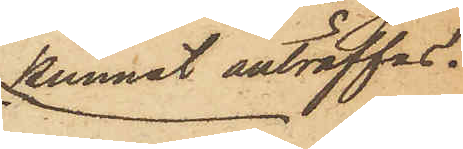kunnat anträffas.
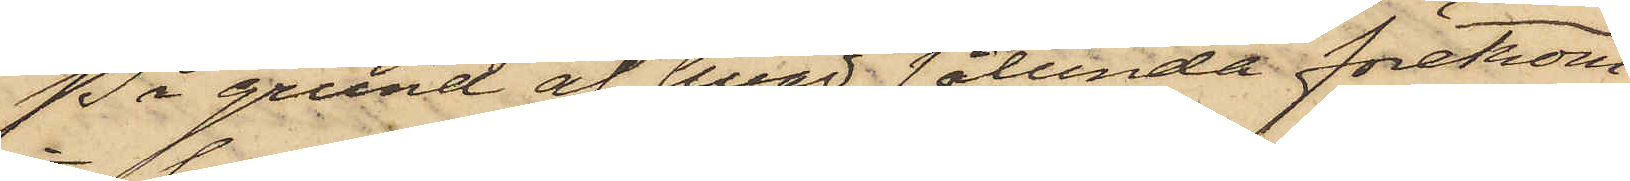På grund af hvad sålunda förekom¬
